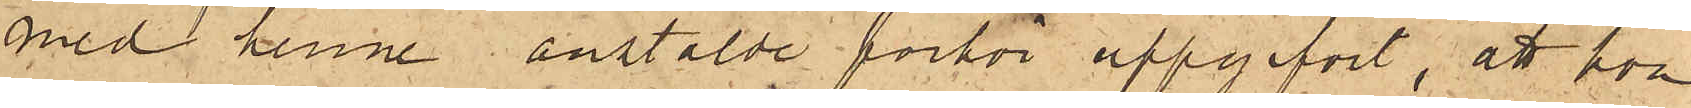med henne anstälde förhör uppgifvit, att hon
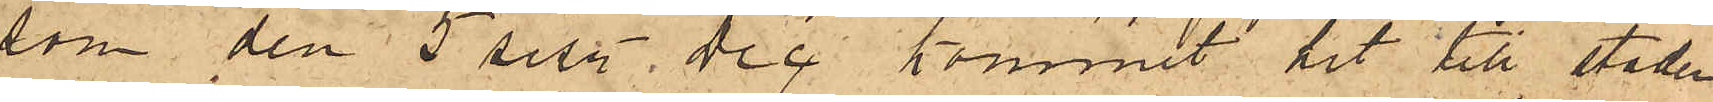som den 5 sist. Dec kommit hit till staden
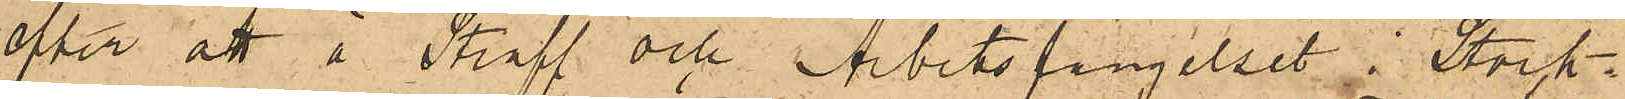efter att å Straff och Arbetsfängelset i Stock¬
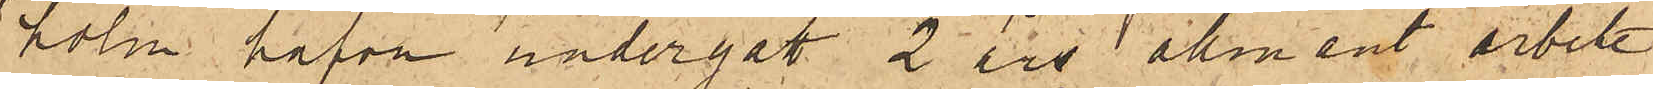holm hafva undergått 2 års allmänt arbete
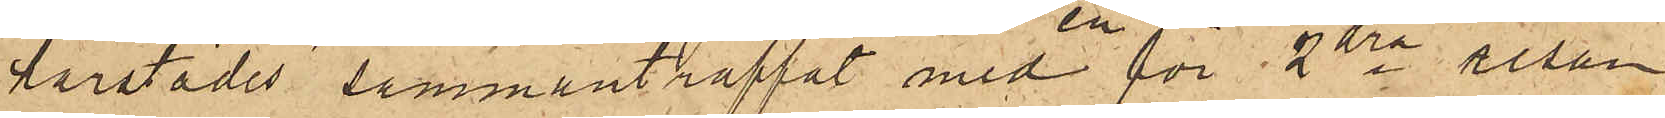härstädes sammanträffat med en för 2dra resan
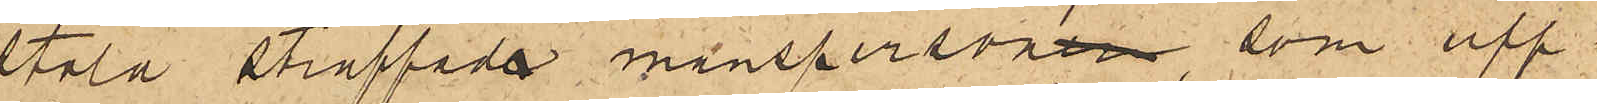stöld straffade manspersoner, som upp¬
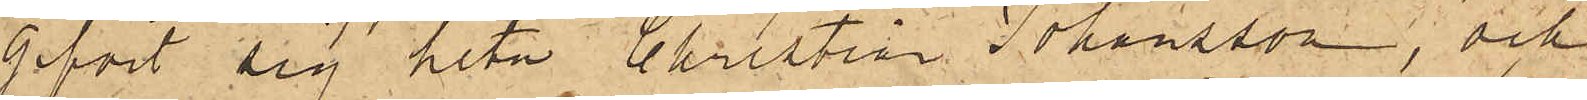gifvit sig heta Christian Johansson, och
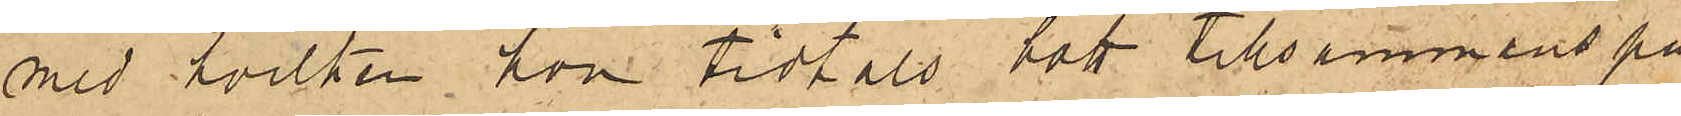med hvilken hon tidtals bott tillsammans på
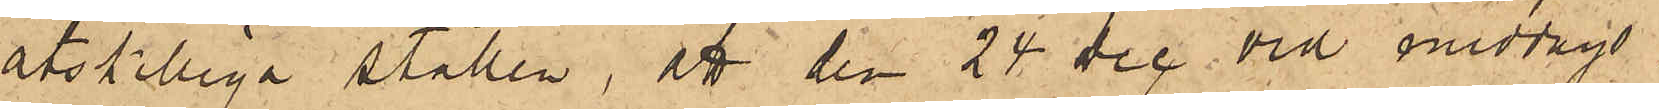åtskilliga ställen, att den 24 Dec vid middags¬
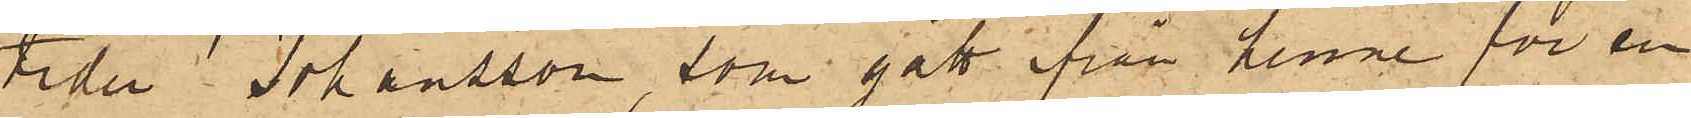tiden Johansson, som gått ifrån henne för en
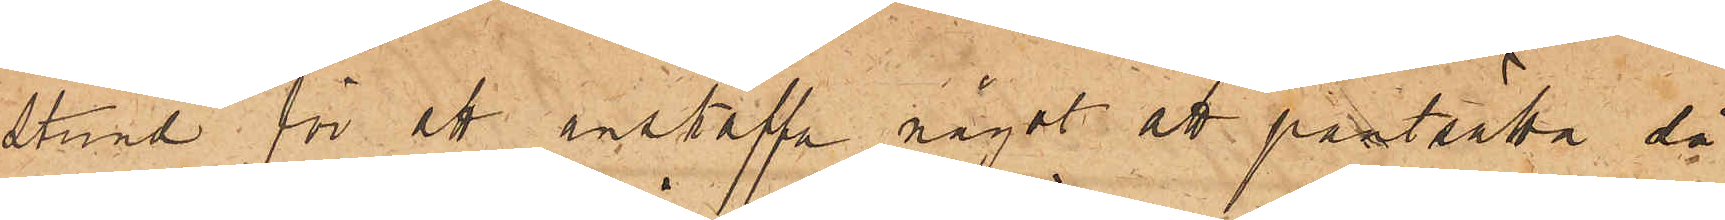stund för att anskaffa något att pantsätta så
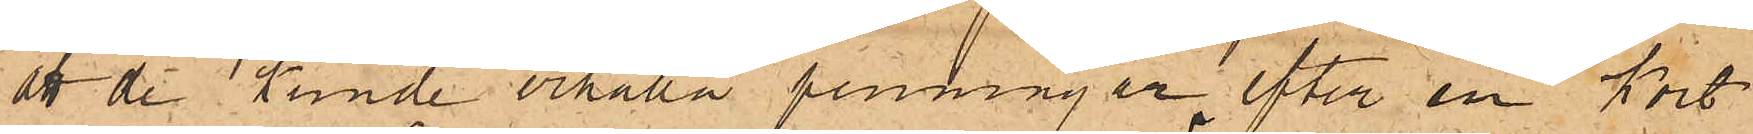att de kunde erhålla penningar, efter en kort
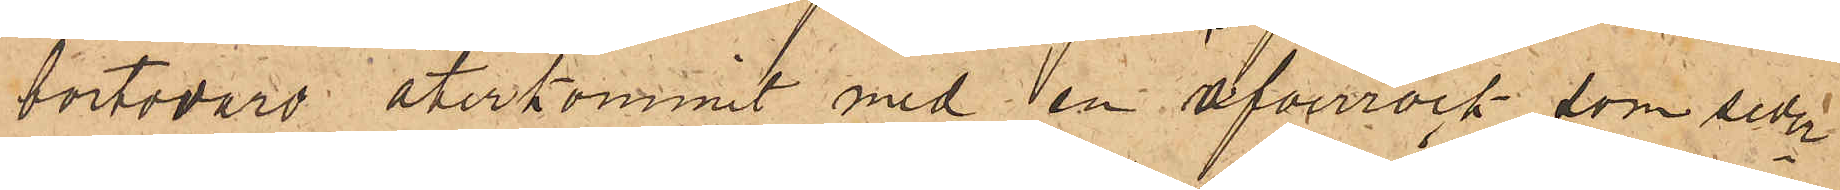bortovaro återkommit med en öfverrock, som seder¬
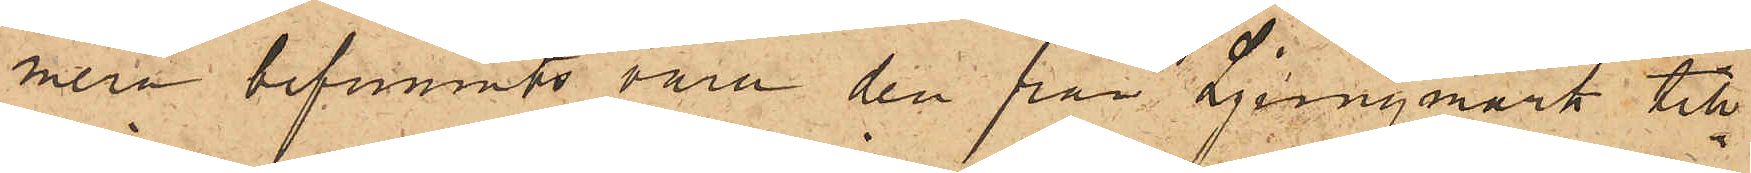mera befunnits vara den från Ljungmark till¬
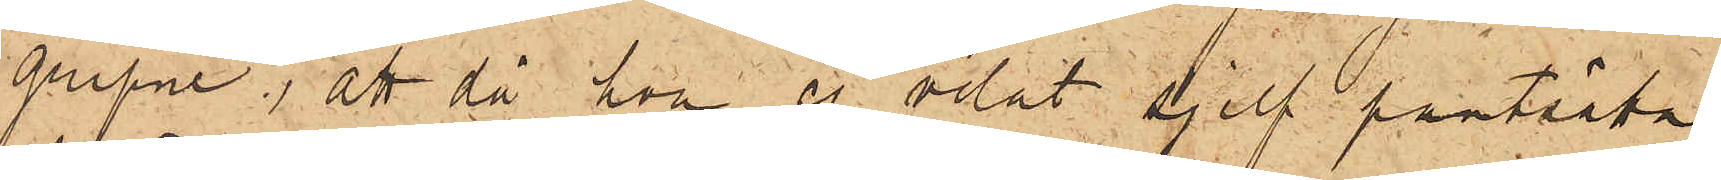gripne; att då hon ej velat sjelf pantsätta
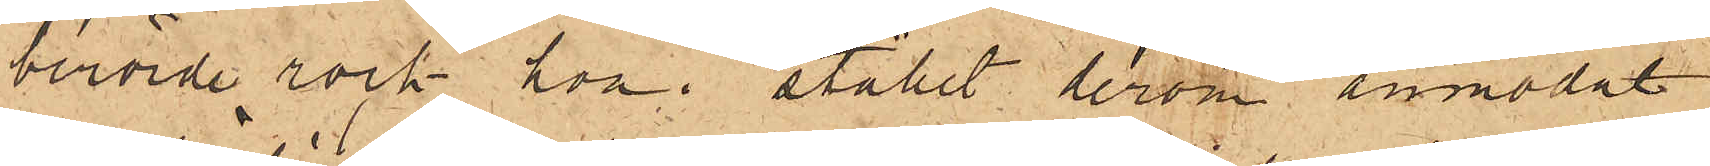berörde rock hon i stället derom anmodat
